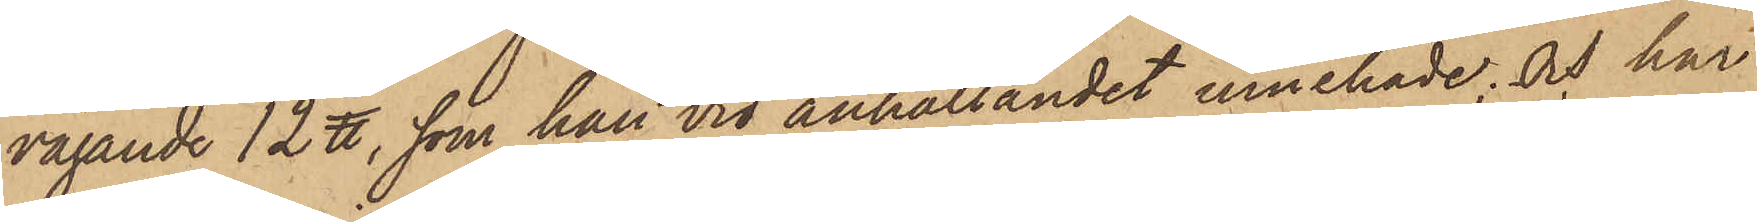vägande 12 ℔, som han vid anhållandet innehade; och har
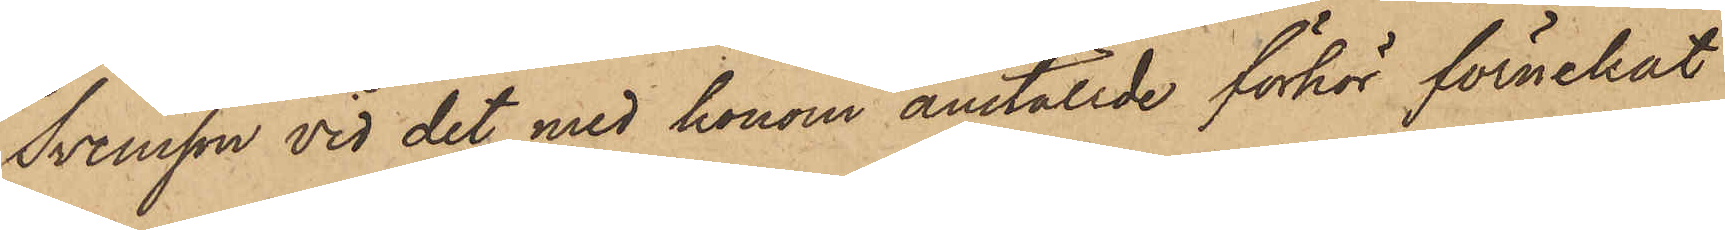Svensson vid det med honom anställde förhör förnekat
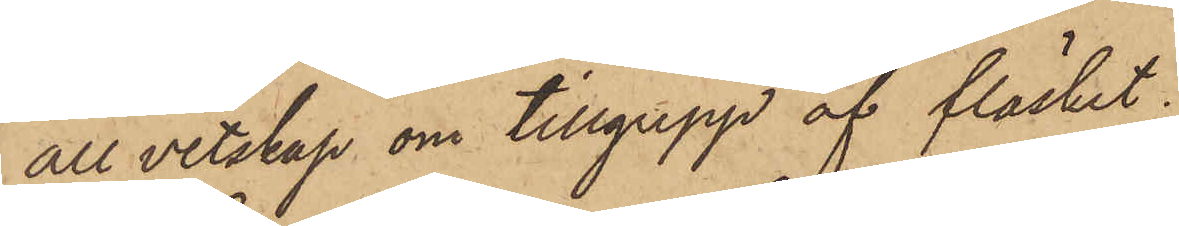all vetskap om tillgrepp af fläsket.
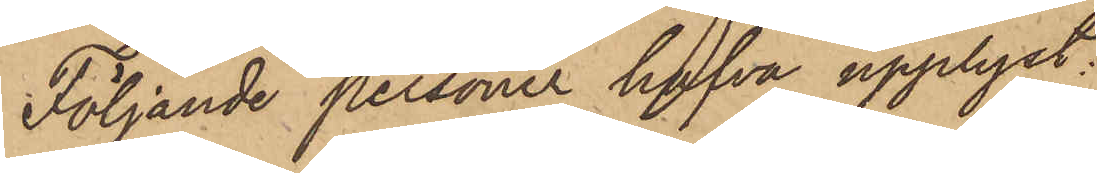Följande personer hafva upplyst:
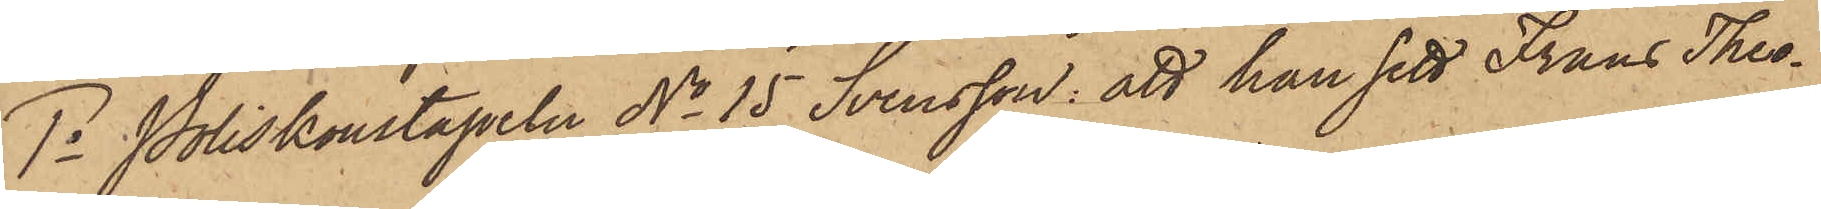1o Poliskonstapeln No 15 Svensson: att han sett Frans Theo¬
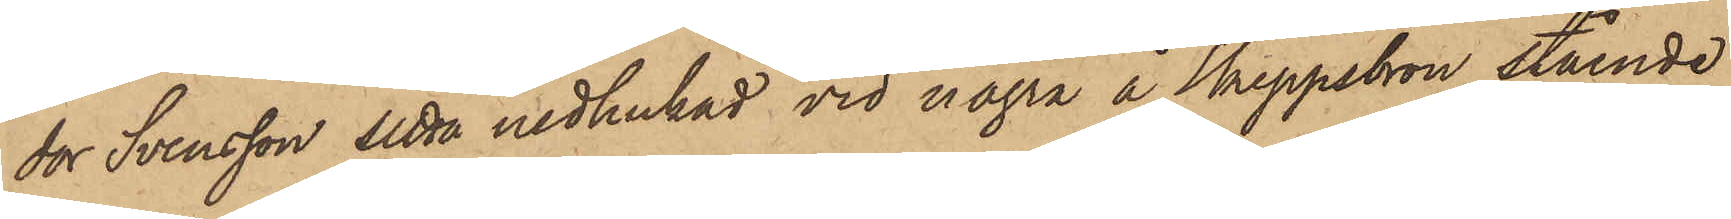dor Svensson setta nedhukad vid några å Skeppsbron stående
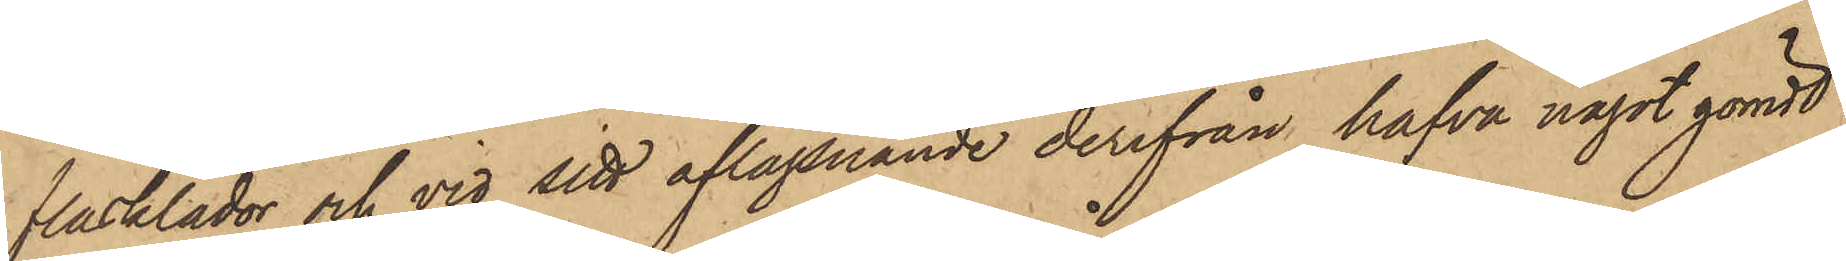flasklådor och vid sitt aflägsnande derifrån hafva något gömdt
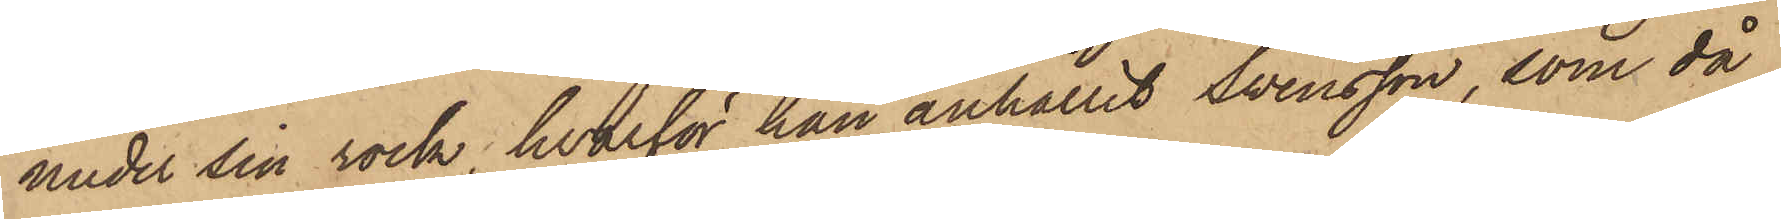under sin rock, hvarför han anhållit Swensson, som då
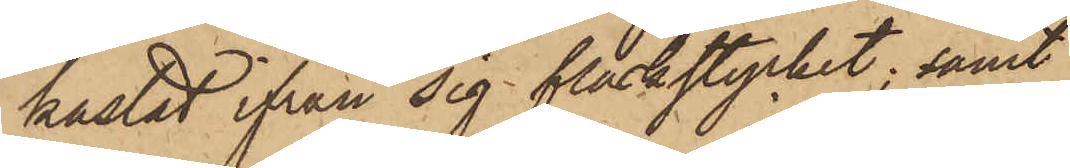kastat ifrån sig fläskstycket; samt
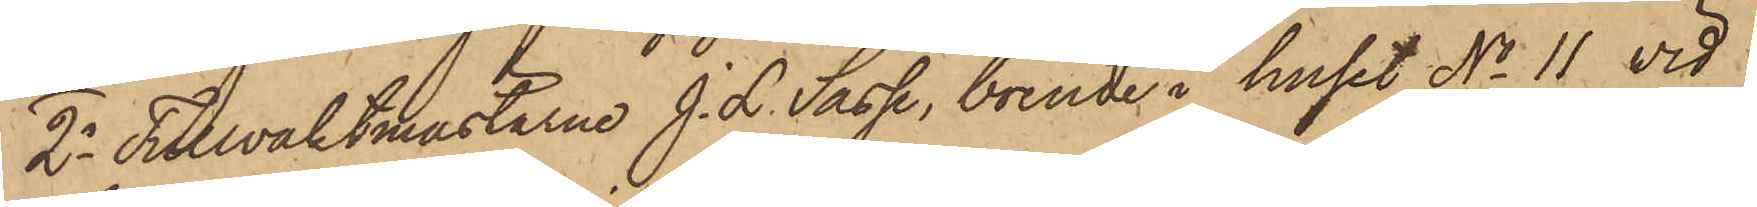2o Tullvaktmästarne J. L. Sasse, boende i huset No 11 vid
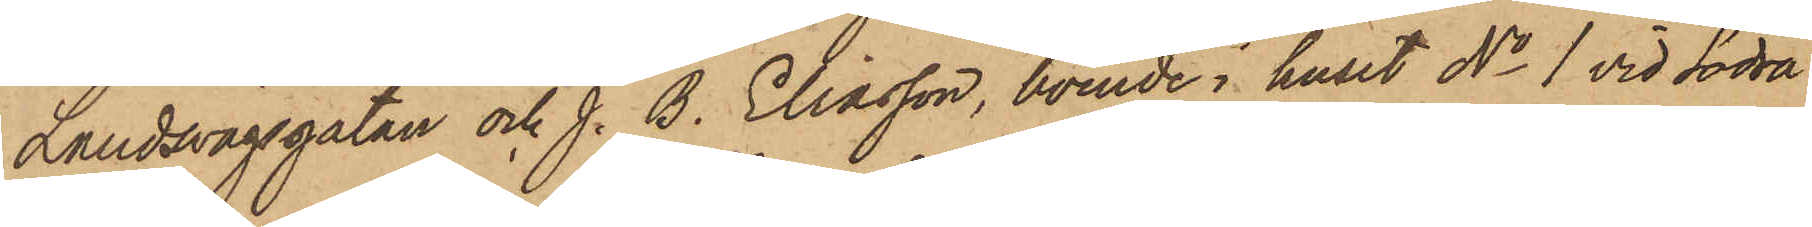Landsvägsgatan och J. B. Eliasson, boende i huset No 1 vid Södra
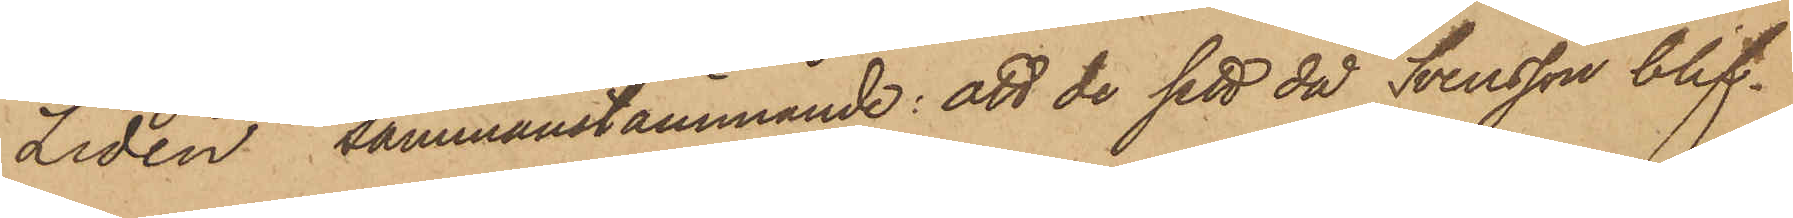Liden sammanstämmande: att de sett då Svensson blif¬
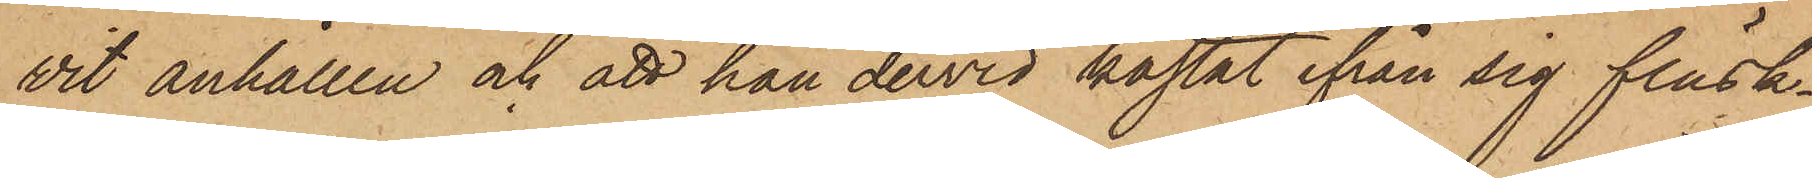vit anhållen och att han dervid kastat ifrån sig fläsk¬
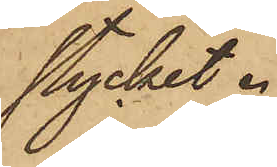stycket.
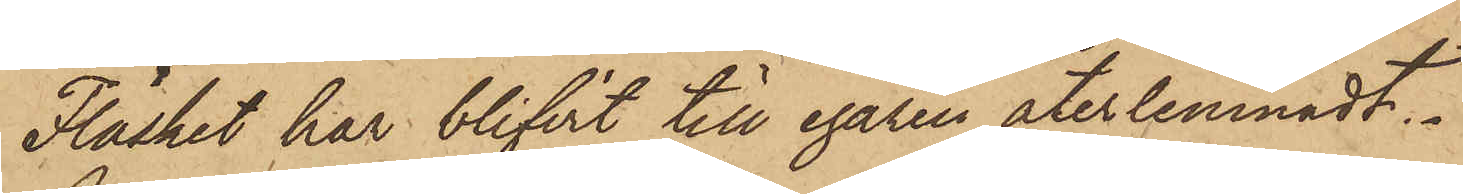Fläsket har blifvit till egaren återlemnadt.
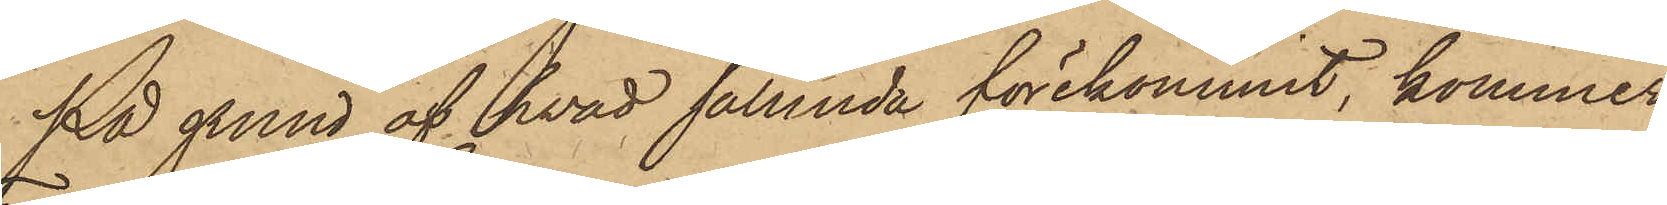På grund af hvad sålunda förekommit, kommer
